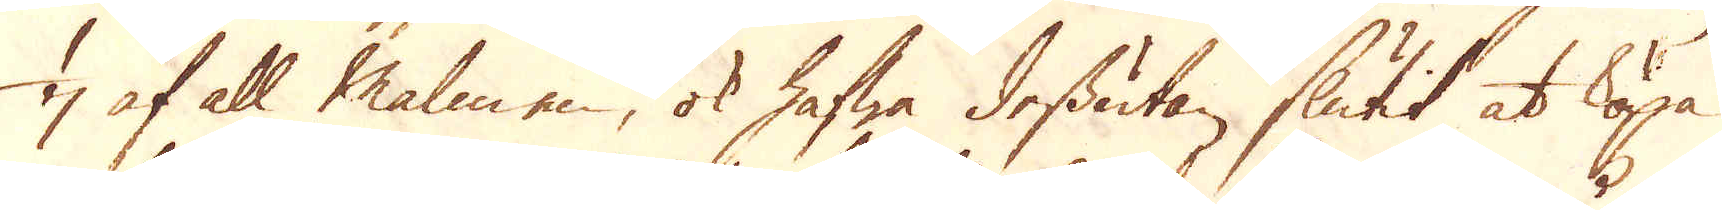1/7 af all malmen, ok hafwa dessutan slutit at köpa
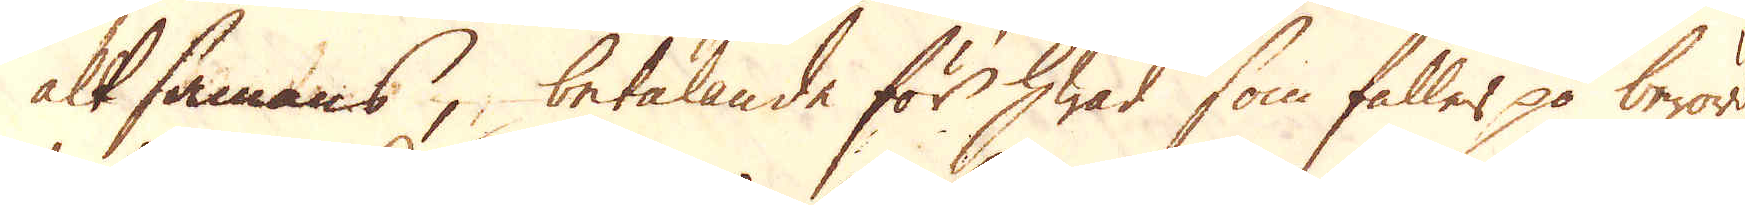alt sammans, betalande för hwad som faller på berörde
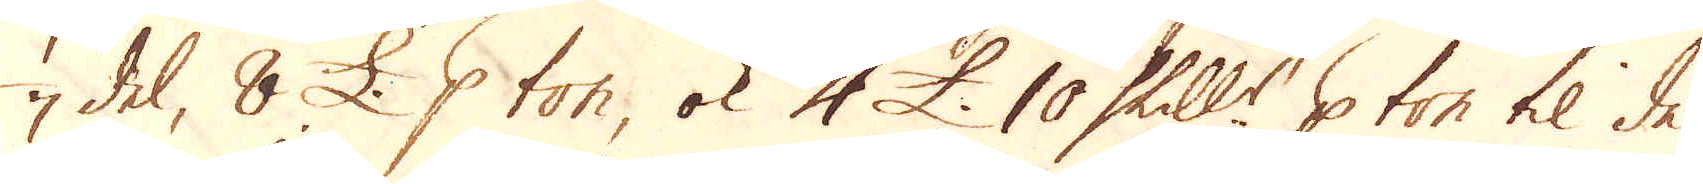1/7 del, 8 £. p ton, ok 4 £. 10 Skill:r p ton til de
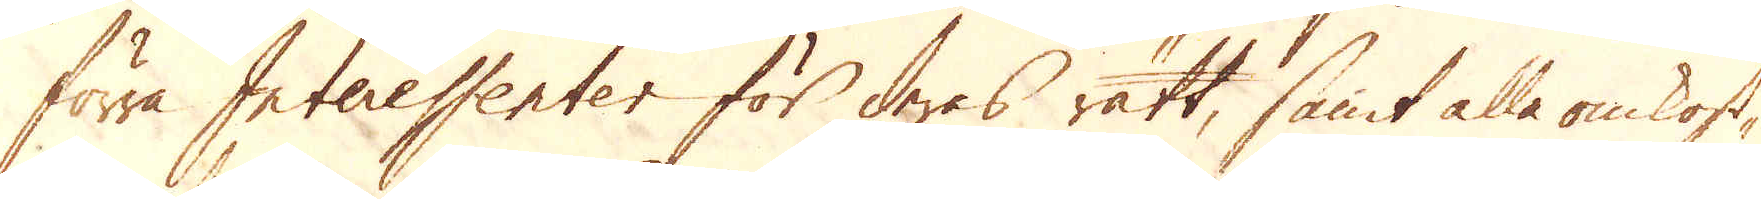förra Interessenter för deras rätt, samt alla omkost-
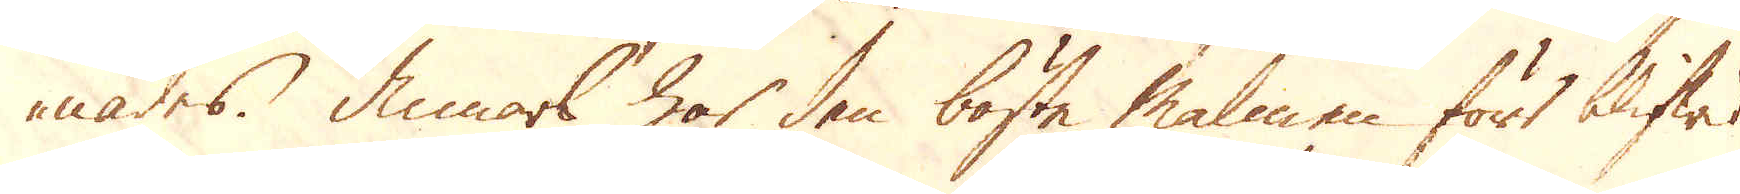nades. Annars har den bäste malmen fört blifwit
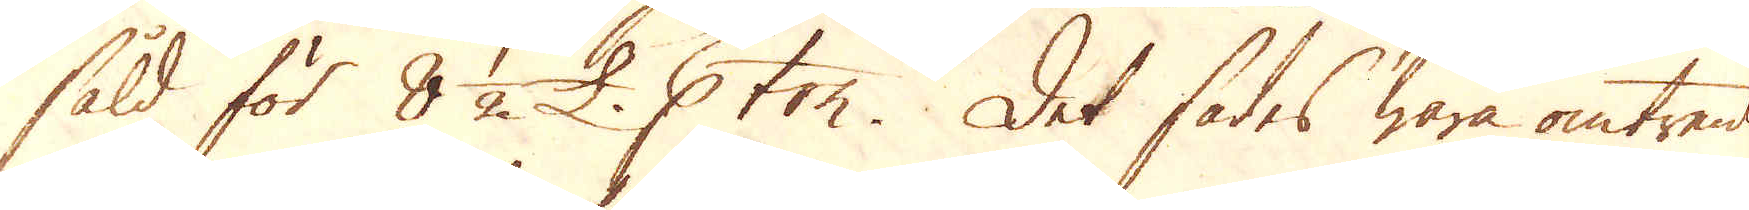såld för 8 1/2 £. p ton. Det sades wara omtrent
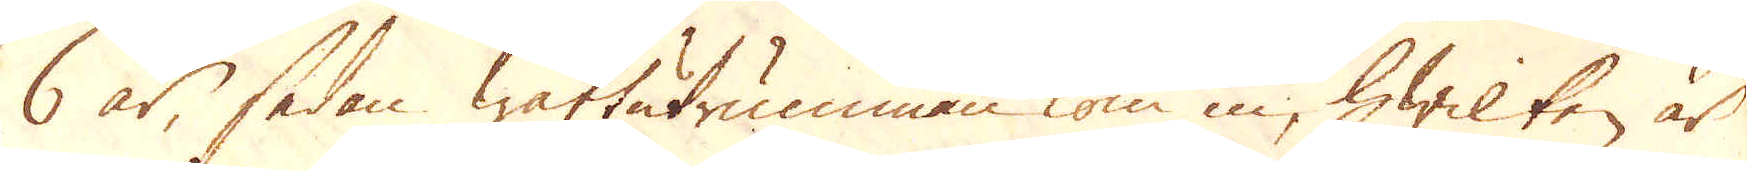6 år, sedan wattutrumman kom in, hwilken är
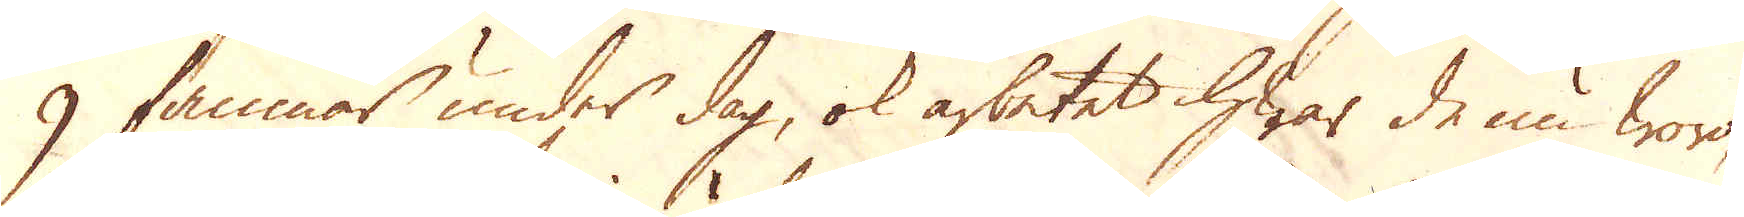9 famnar under dag, ok arbetet hwar de nu woro,
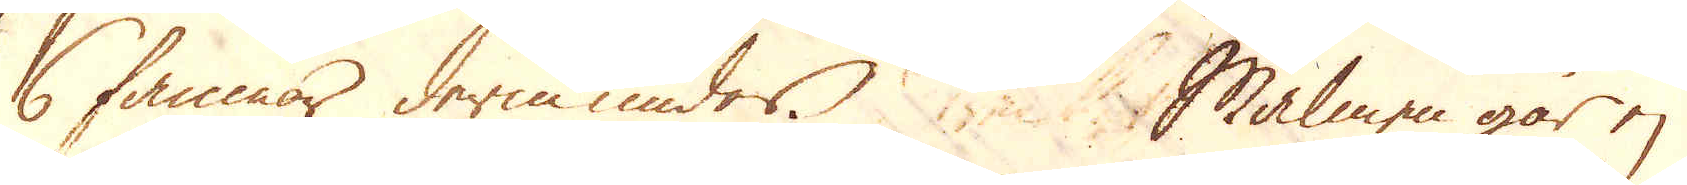6 famnar derunder. Malmen går ej
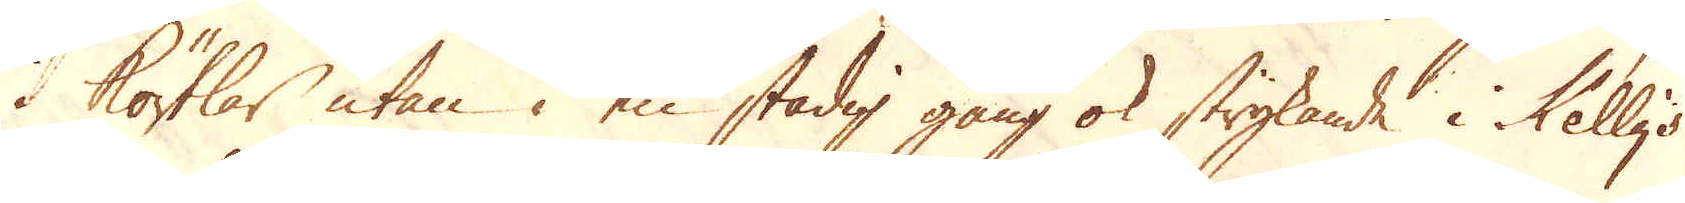i körtlar utan i en stadig gång ok strykande i Kelly's
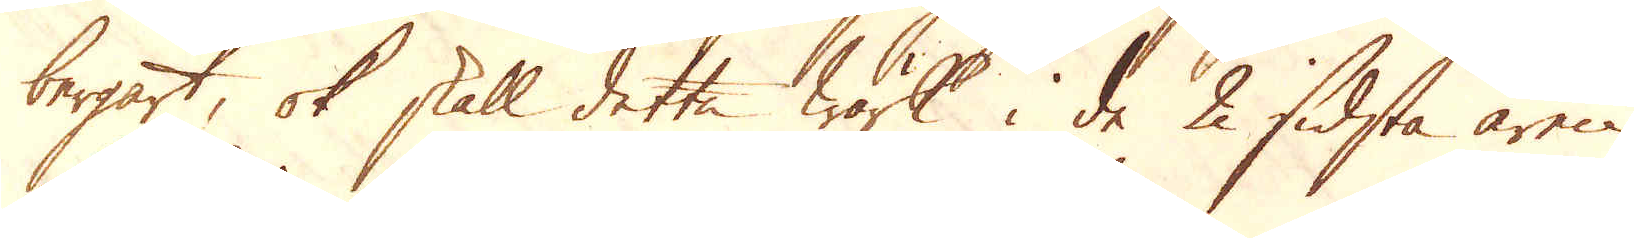bergart, ok skall detta Wärk i de 2 sidsta åren
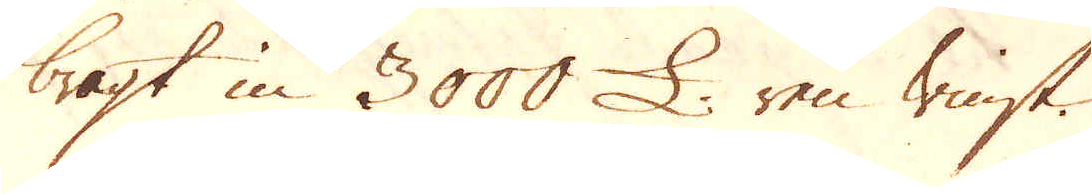bragt in 3000 £ ren winst.
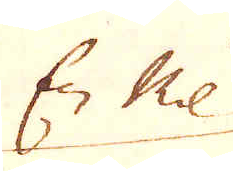En Mil
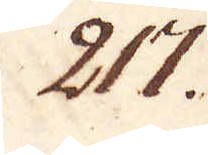217.
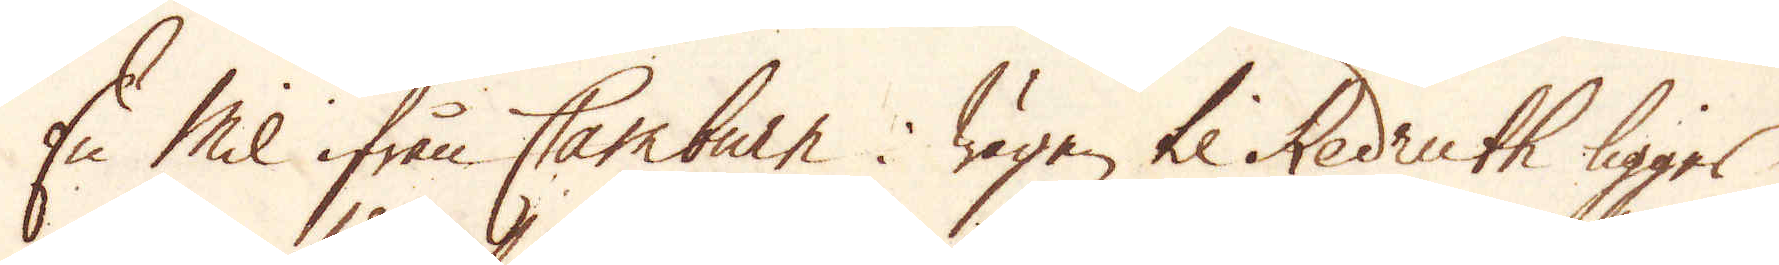En Mil ifrån Camburn i vägen til Redruth ligger
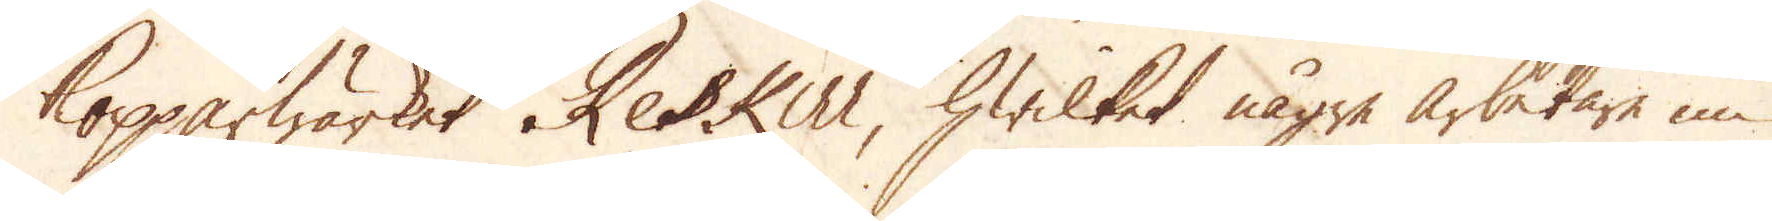Kopparwärket Reskill, hwilket någre arbetare nu
